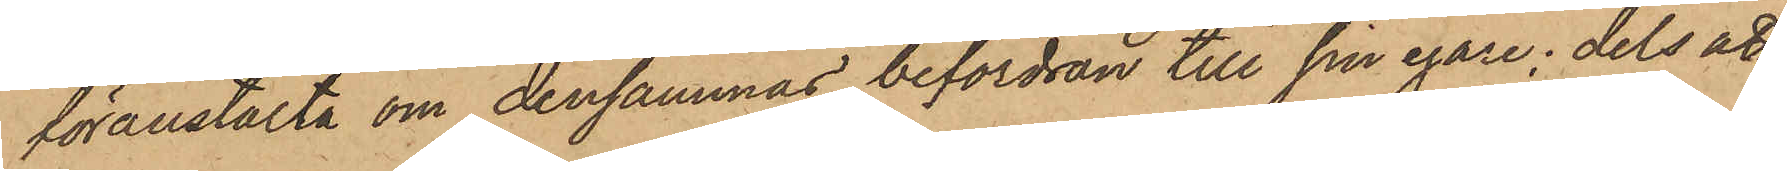föranstalta om densammas befordran till sin egare; dels att
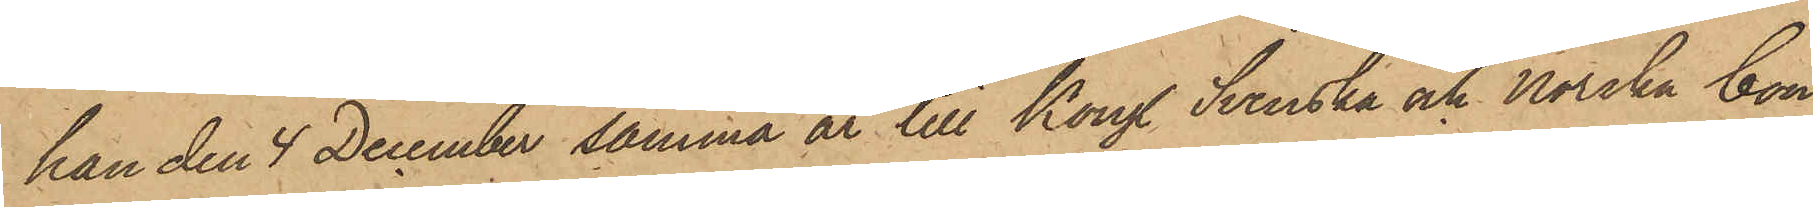han den 4 December samma år till Kongl. Svenska och Norska Con¬
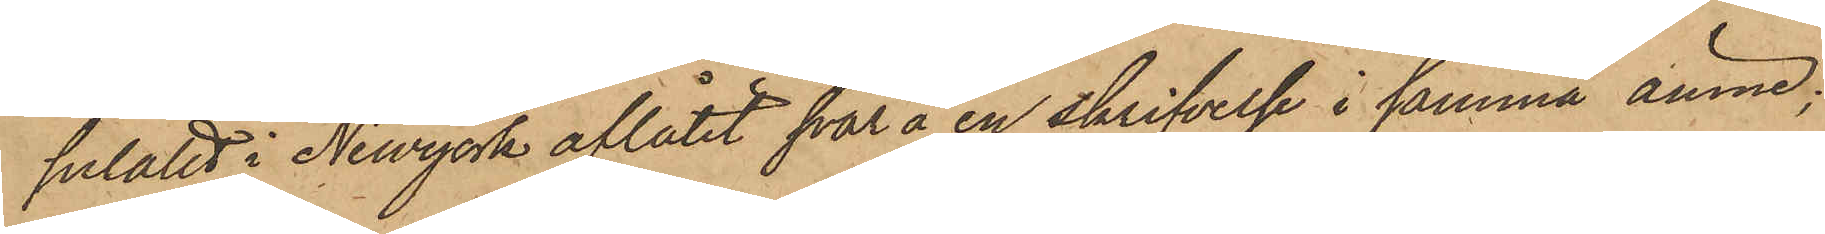sulatet i Newyork aflåtit svar å en skrifvelse i samma ämne;
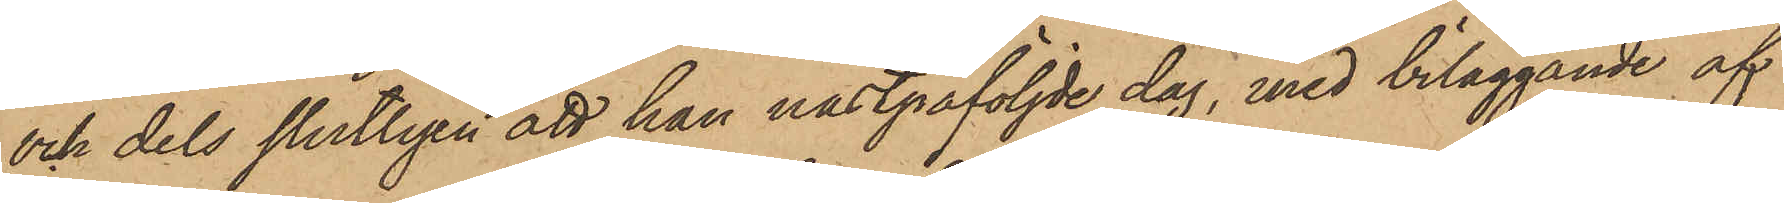och dels slutligen att han nästpåföljde dag, med beläggande af
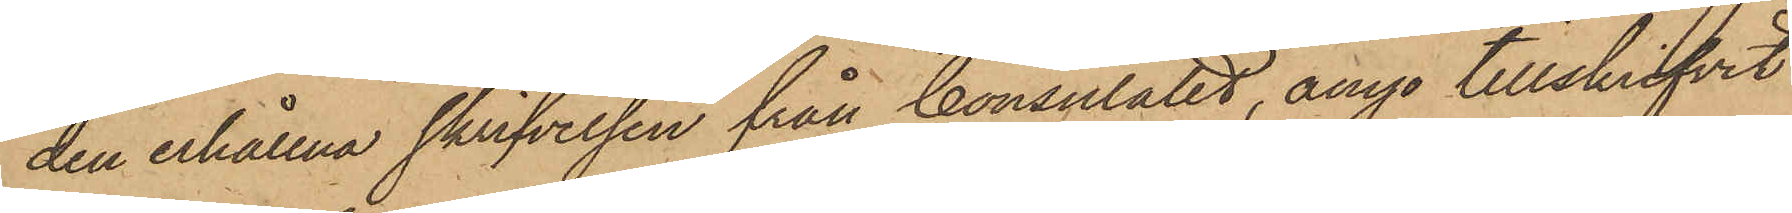den erhållna skrifvelsen från Consulatet, ånyo tillskrifvit
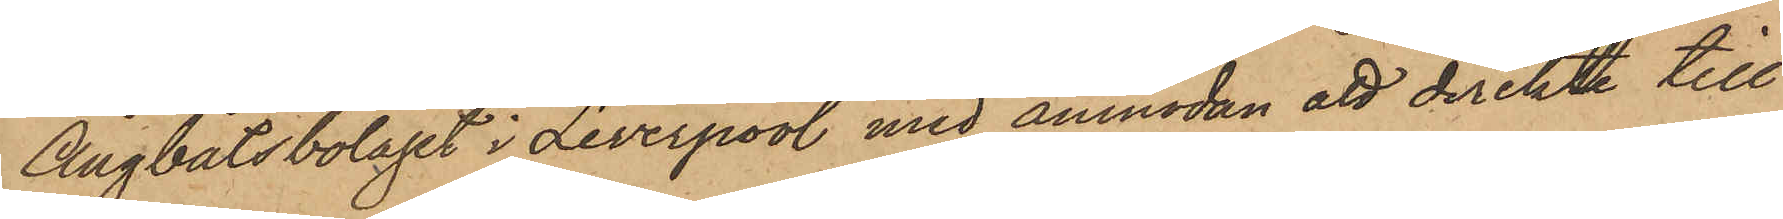Ångbåtsbolaget i Liverpool med anmodan att direkte till
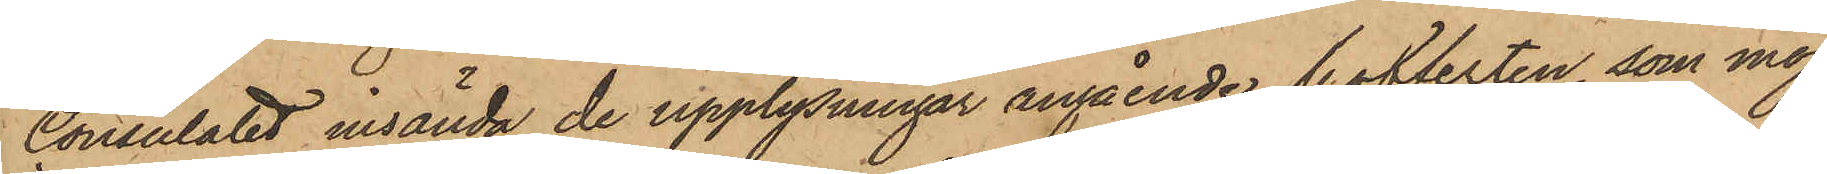Consulatet insända de upplysningar angående kofferten, som möj¬
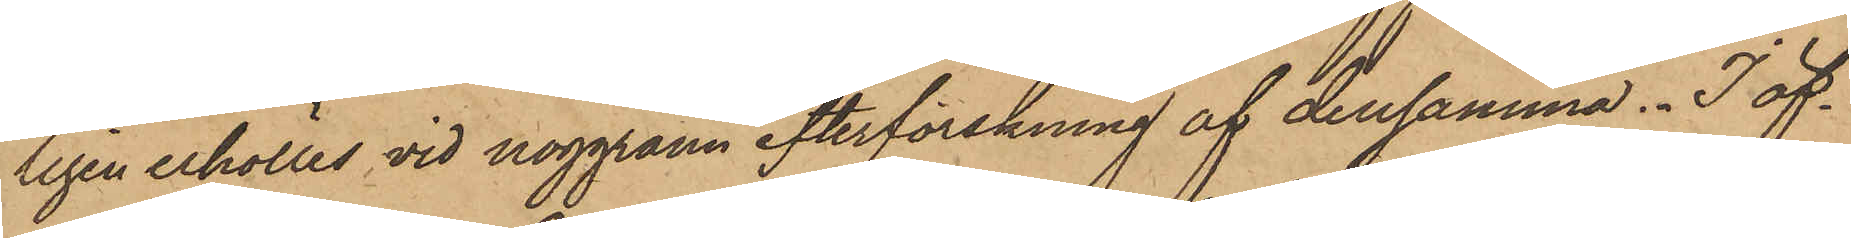ligen erhölles vid noggrann efterforskning af densamma. I öf¬
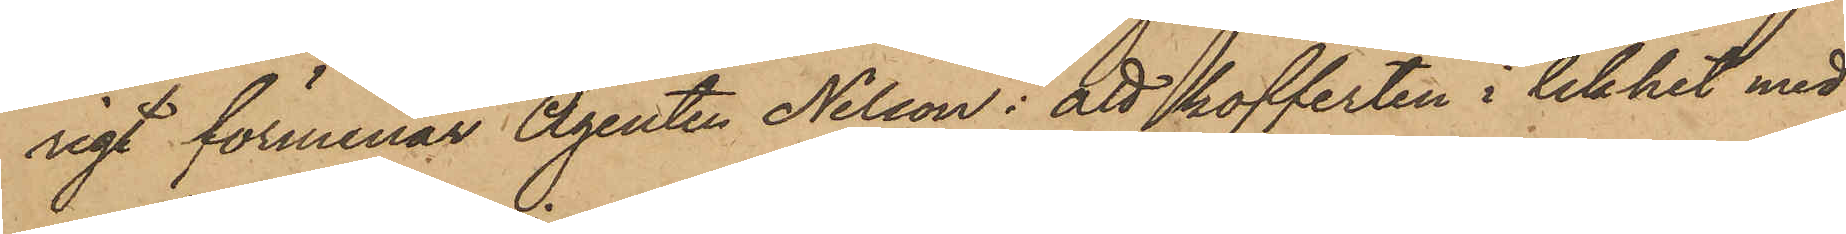rigt förmenar Agenten Nilsson: att kofferten i likhet med
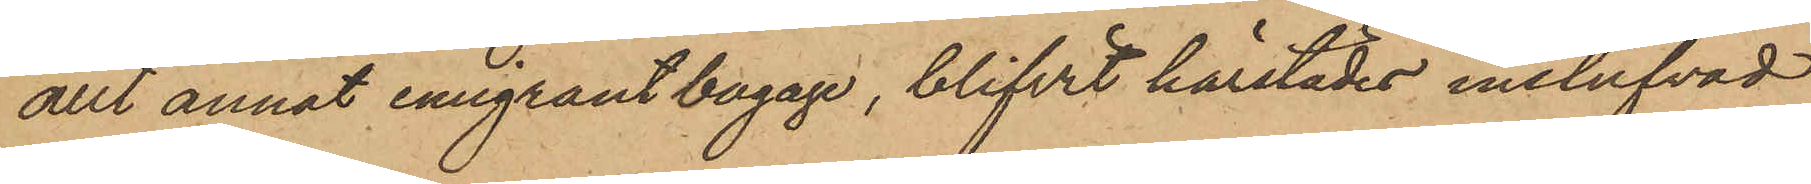allt annat emigrantbagage, blifvit härstädes instufvad
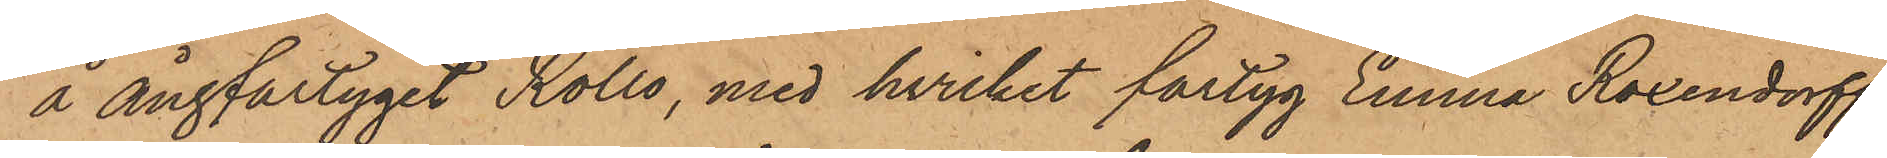å ångfartyget Rollo, med hvilket fartyg Emma Roxendorff
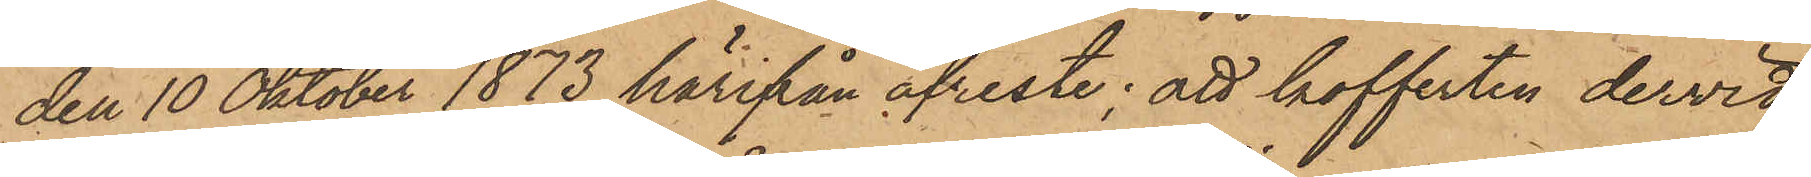den 10 Oktober 1873 härifrån afreste; att kofferten dervid
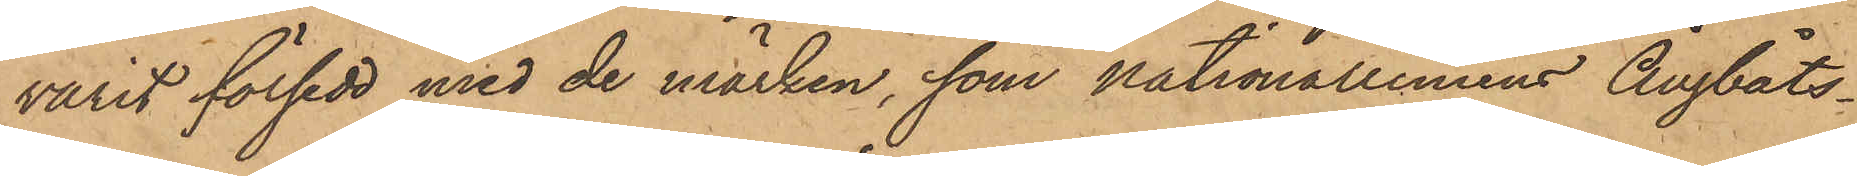varit försedd med de märken, som Nationalliniens Ångbåts¬
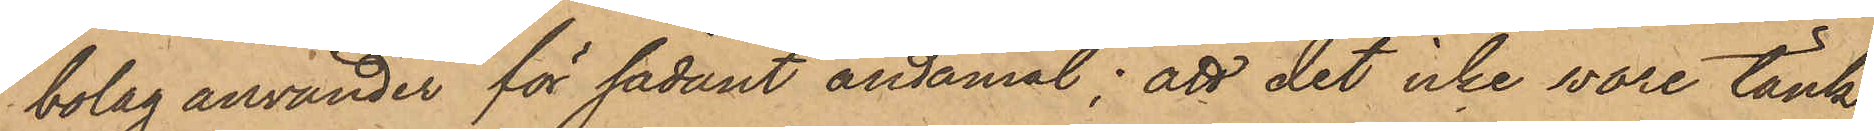bolag använder för sådant ändamål; att det icke vore tänk¬
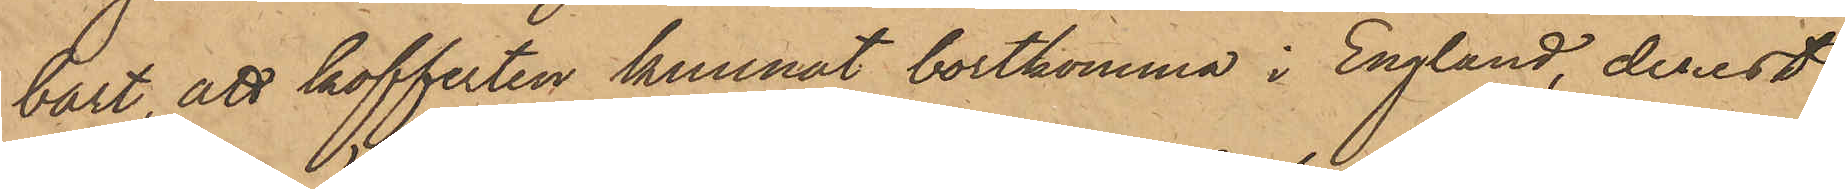bärt, att kofferten kunnat bortkomma i England, derest
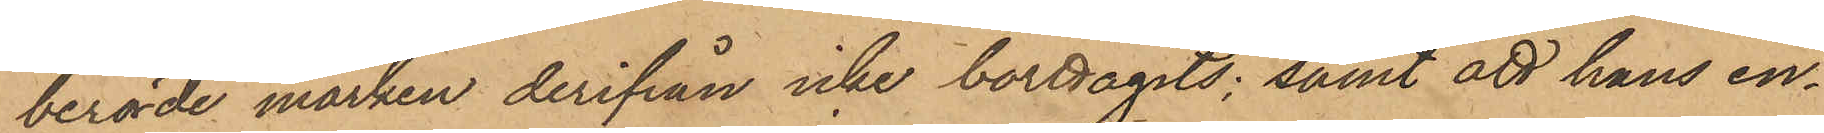berörde märken derifrån icke borttagits; samt att hans en¬
